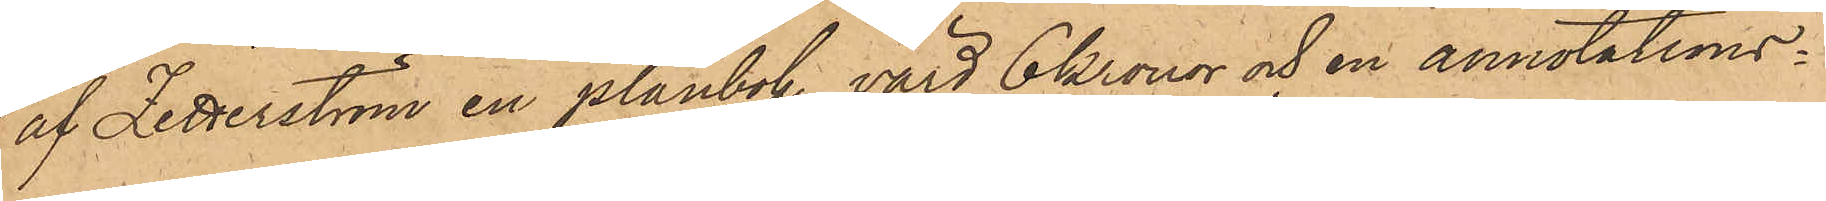af Zetterström en plånbok, värd 6 kronor och en annotations¬
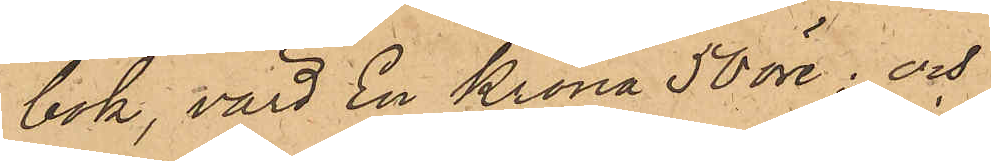bok, värd En Krona 50 öre; och
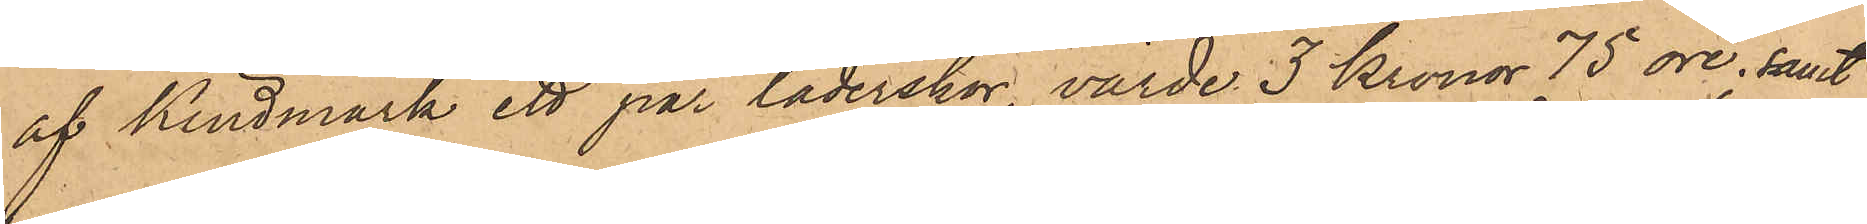af Kindmark, ett par läderskor, värde 3 Kronor 75 öre, samt
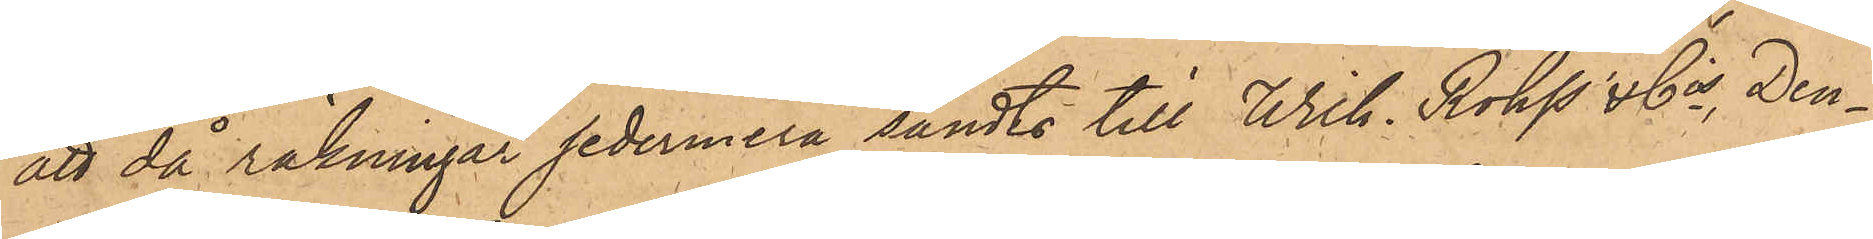att då räkningar sedermera sändts till Wil. Röhss & Co och Den¬
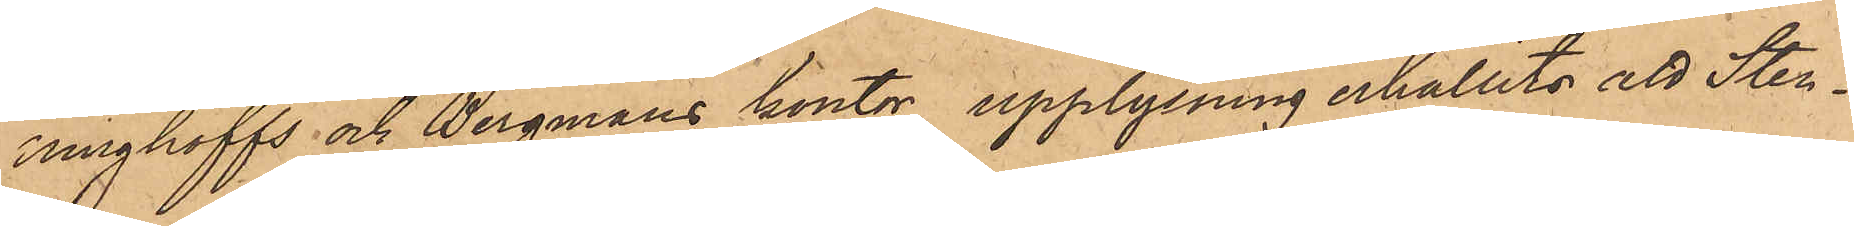ninghoffs och Bergmans kontor, upplysning erhållits att Sten¬
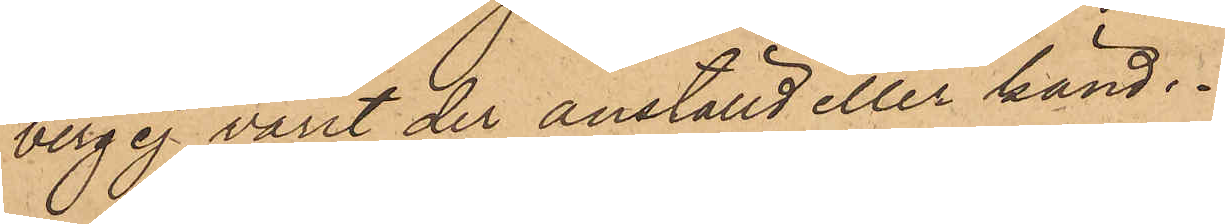berg ej varit der anställd eller känd.
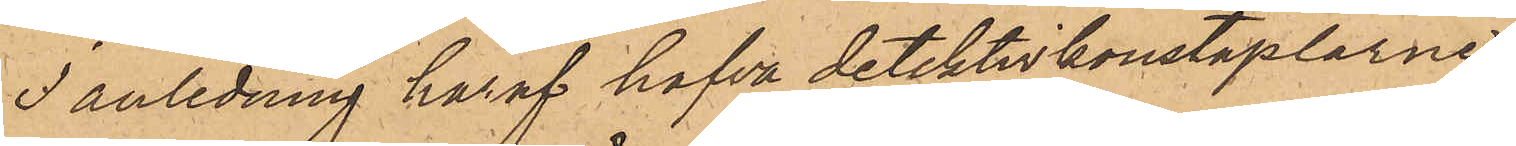I anledning häraf hafva detektivkonstaplarne
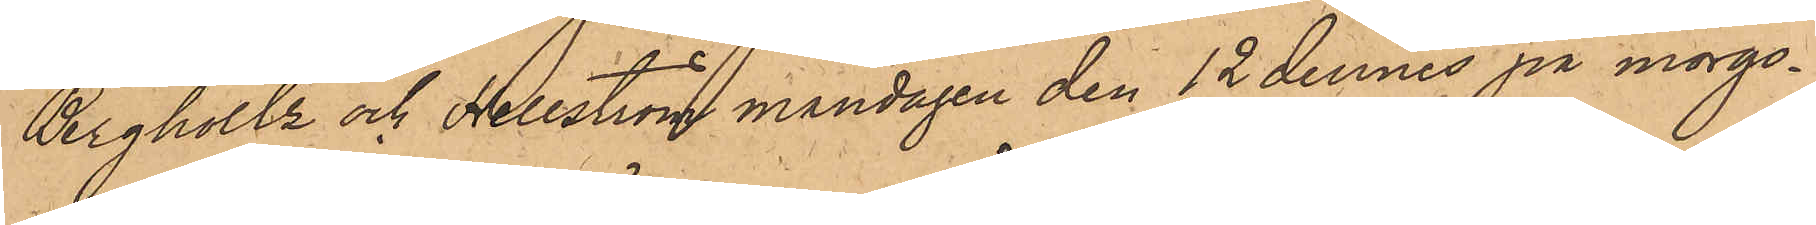Bergholtz och Hellström måndagen den 12 dennes på morgo¬
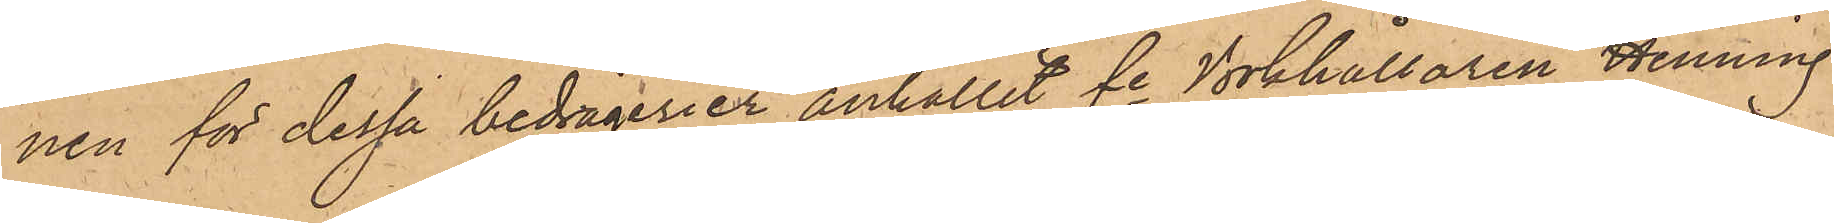nen för dessa bedrägerier anhållit fe Bokhållaren Henning
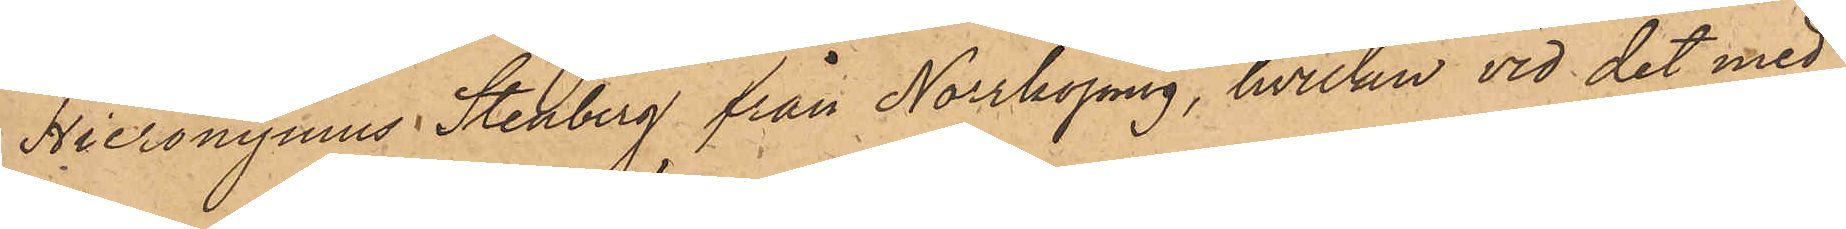Hieronymus Stenberg från Norrköping, hvilken vid det med
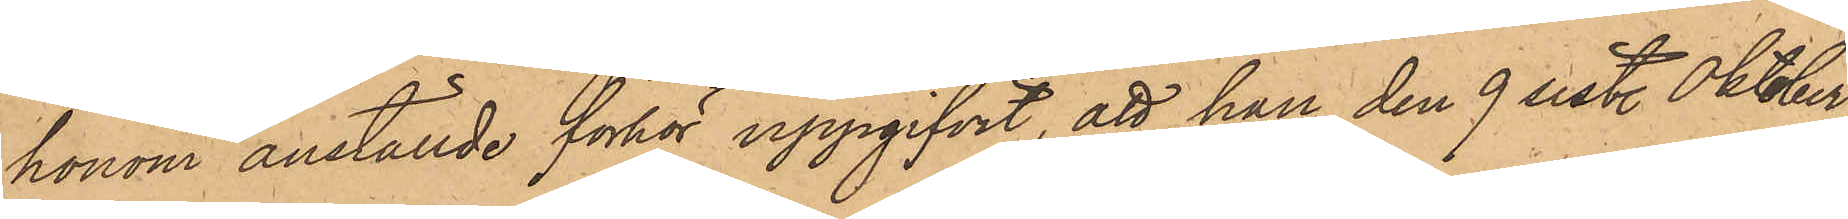honom anställde förhör uppgifvit, att han den 9 sist. Oktober
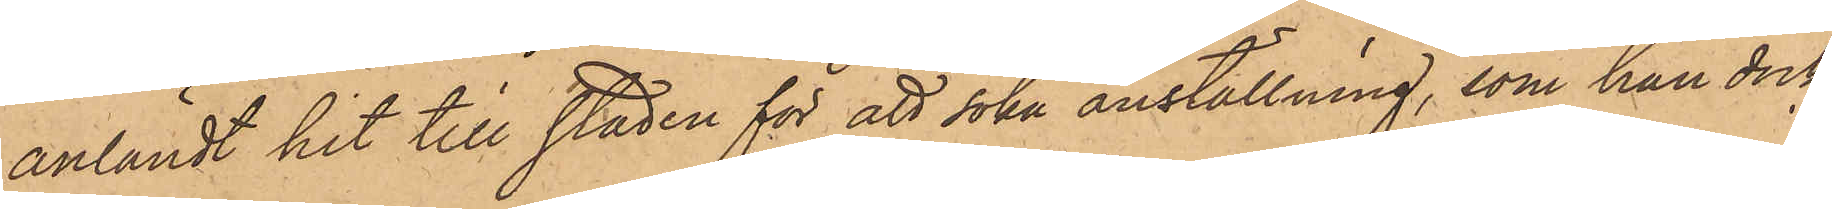anländt hit till staden för att söka anställning, som han dock
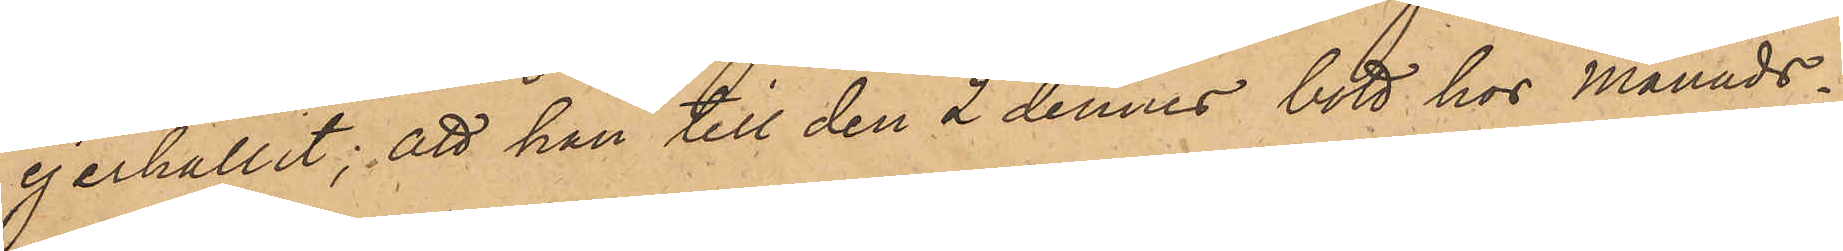ej erhållit; att han till den 2 dennes bott hos Månads¬
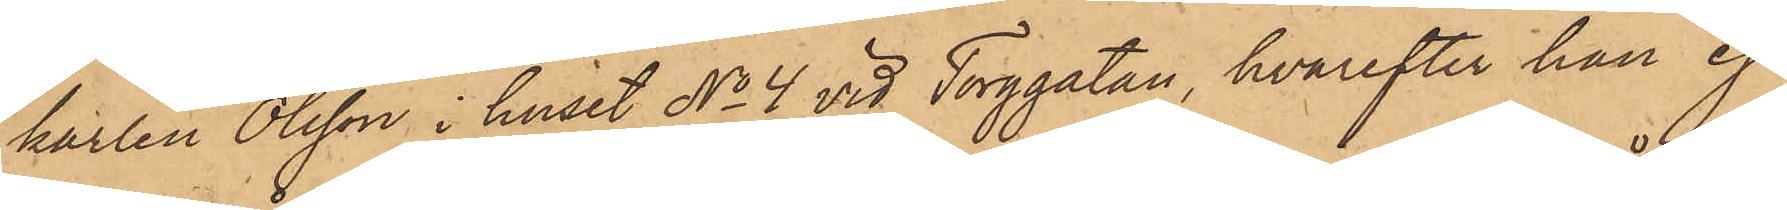karlen Olsson i huset No 4 vid Torggatan, hvarefter han ej
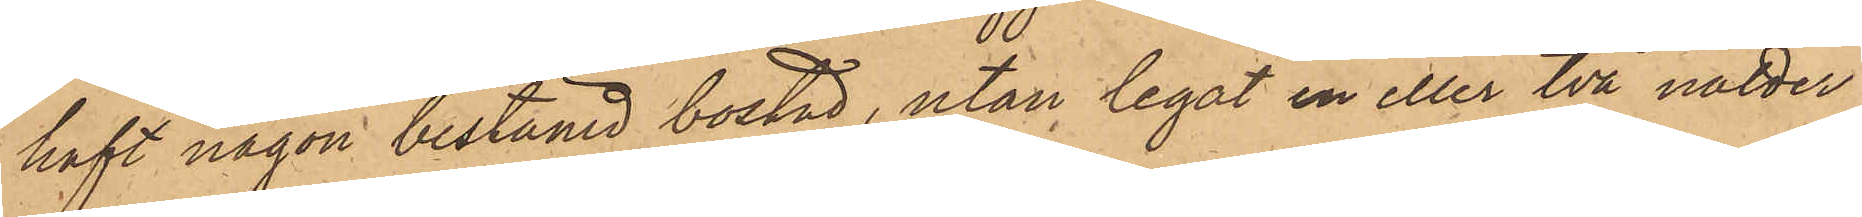haft någon bestämd bostad, utan legat en eller två nätter
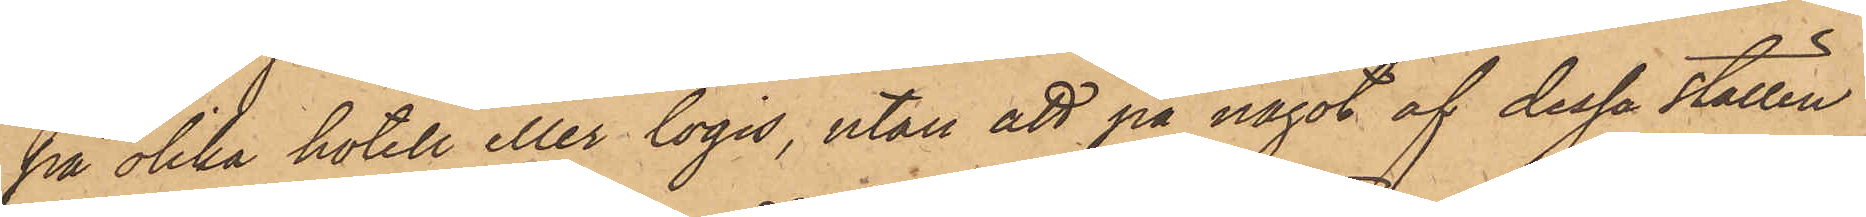på olika hotell eller logis, utan att på något af dessa ställen
